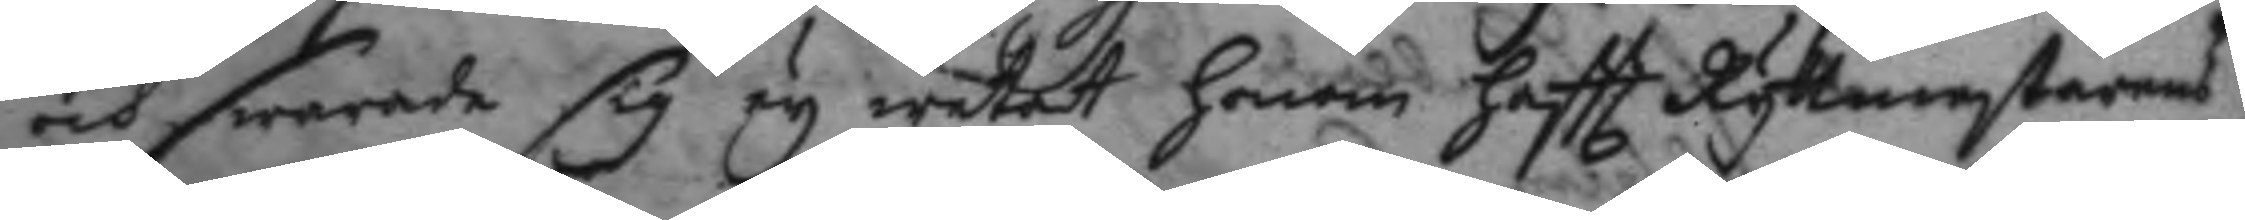och swarade sig ey wetat honom haftt Ryttmestarens
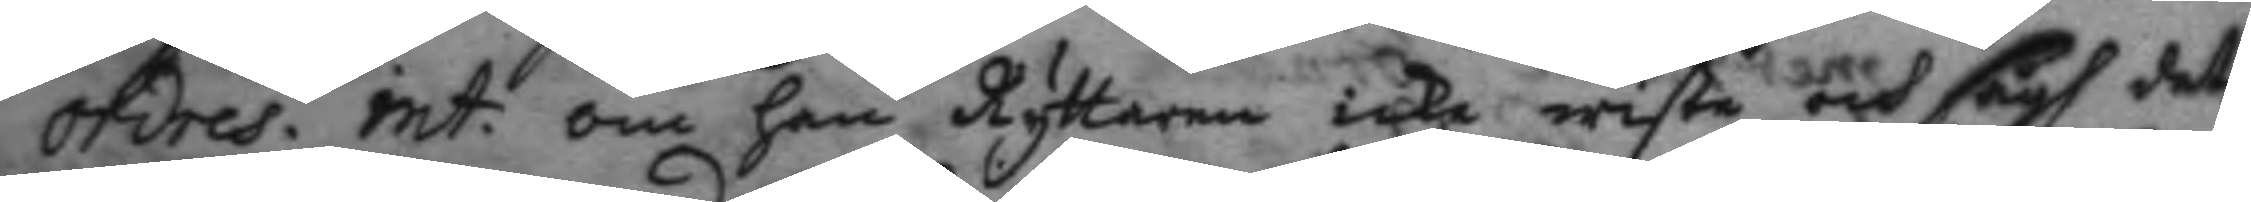ordres. int: om han Ryttanren icke wiste och sågh det
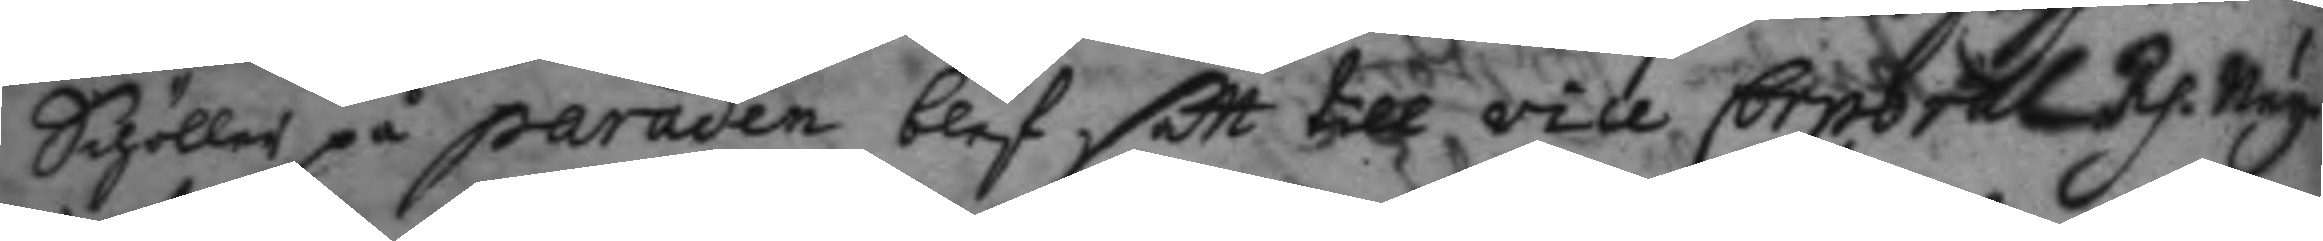Schöller på paraden blef satt till vice Corporal Rp. Ney.
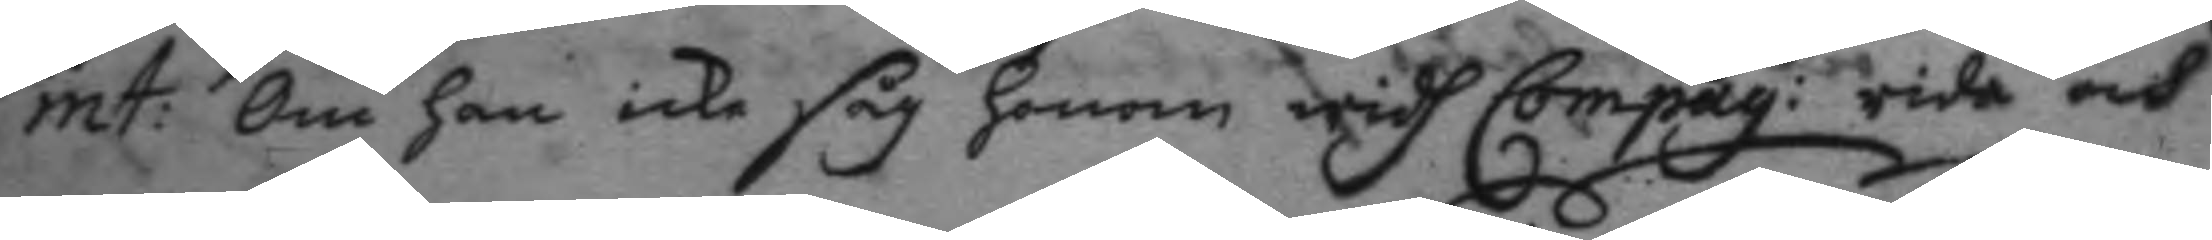int: Om han icke såg honom widh Compag:t rida och
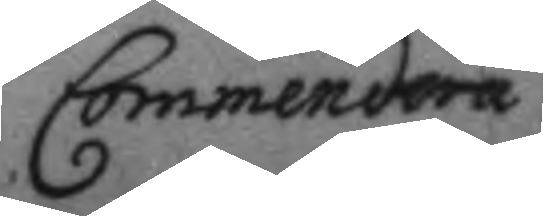Commendera
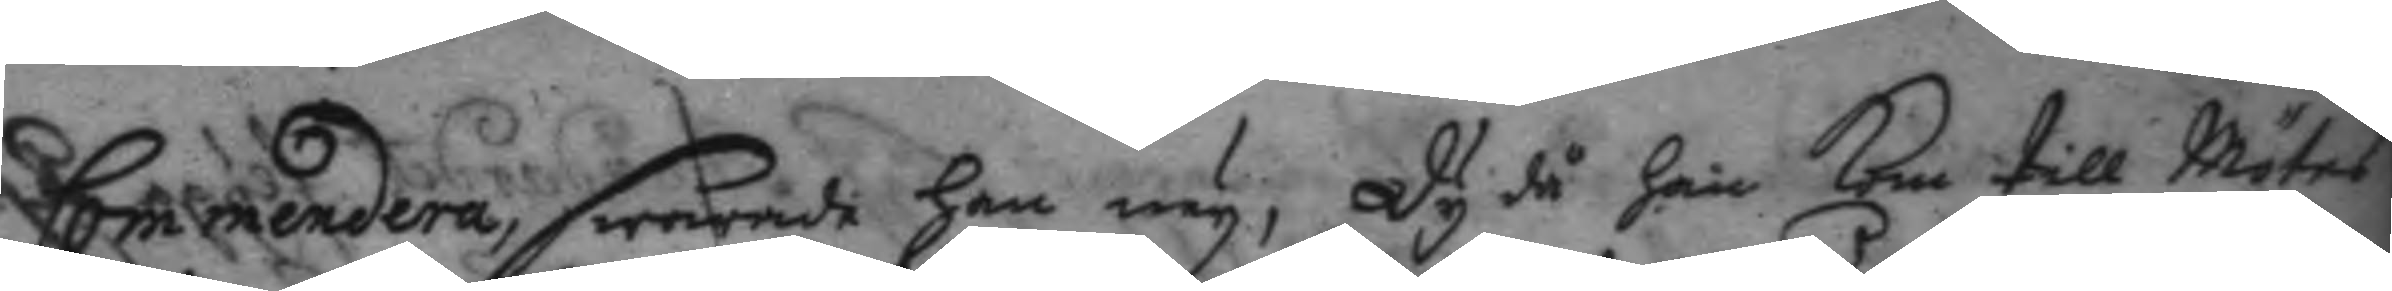Commendera, swarade han ney, Dy då han kom till Mötes¬
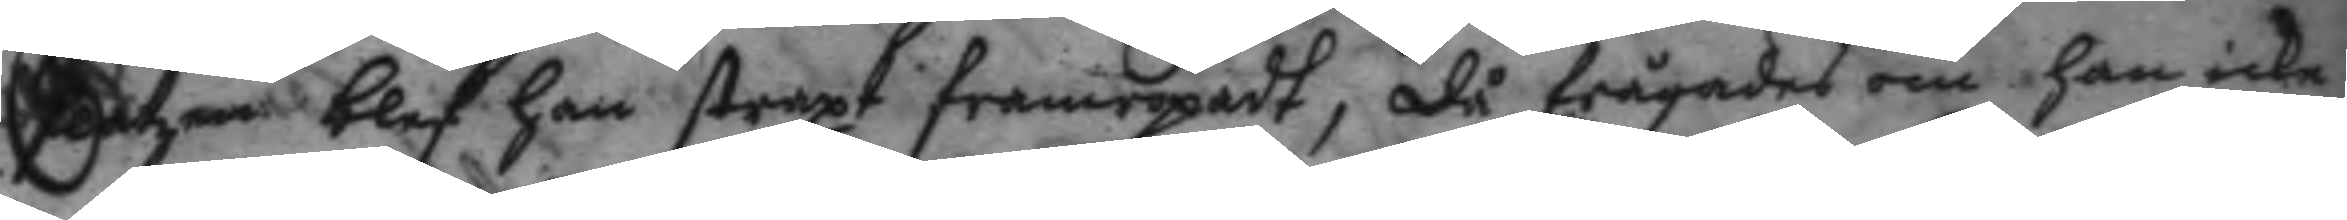platzen blef han straxt framropat, då frågades om han icke
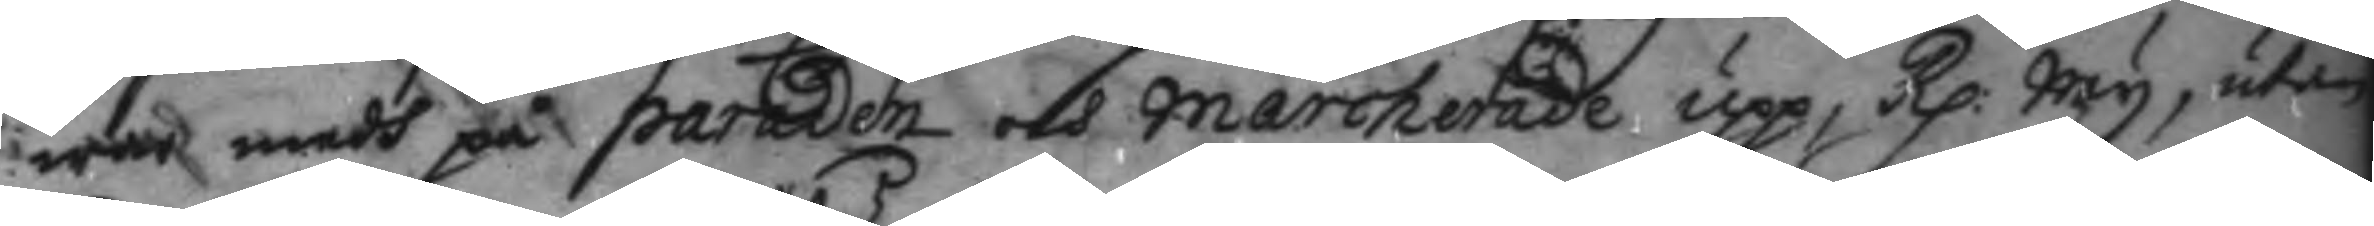war medh på paraden och marcherade upp; Rp: Ney, utan
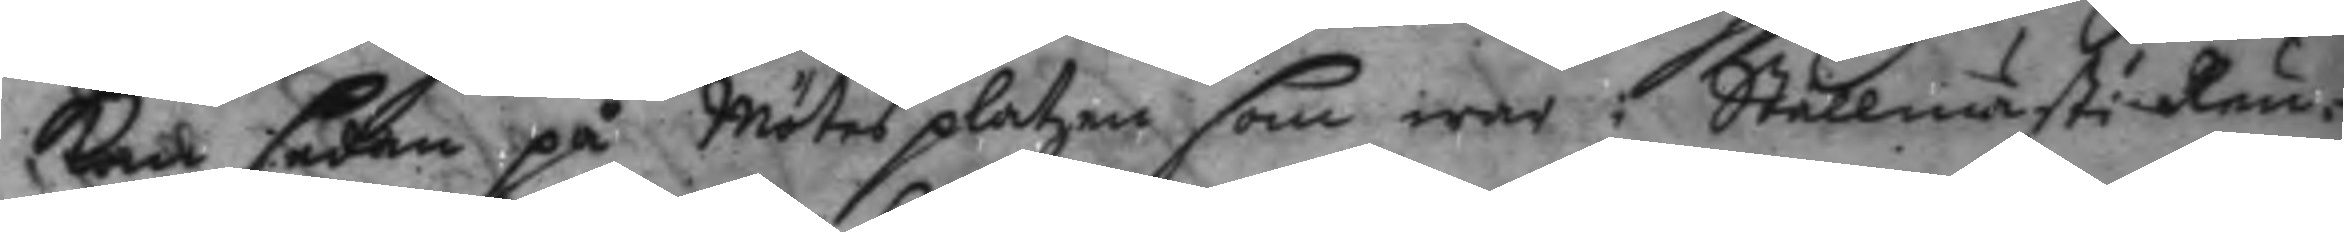kom sedan på Mötes platzen som war i Stallmästi Reu¬
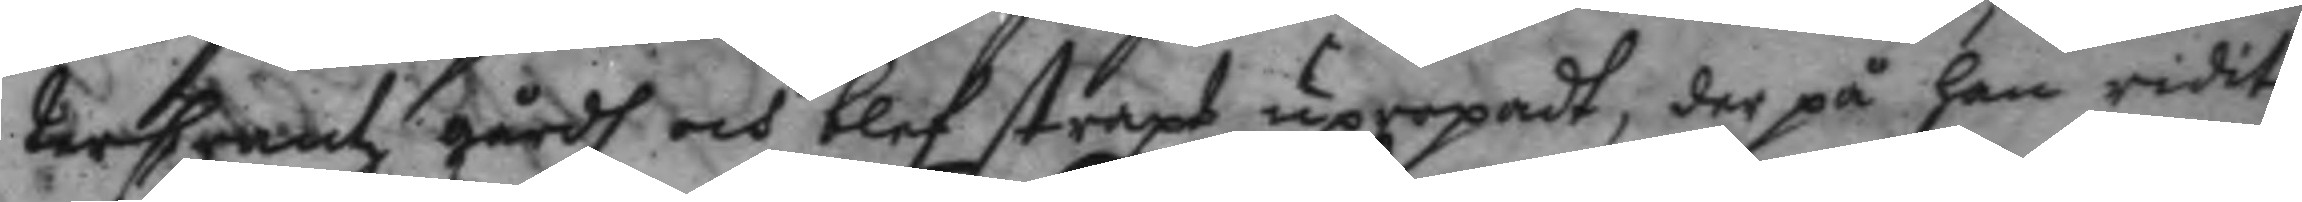terCrantz gårdh och blef straxt uppropadt, der på han ridit
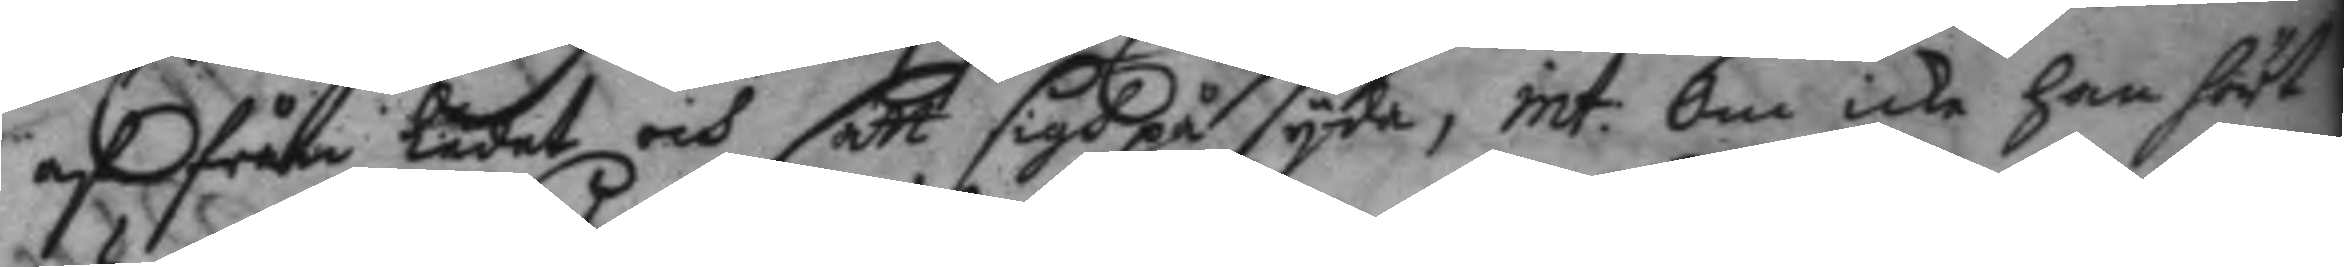af från ledet och satt sigh på syda, int: om icke han hört
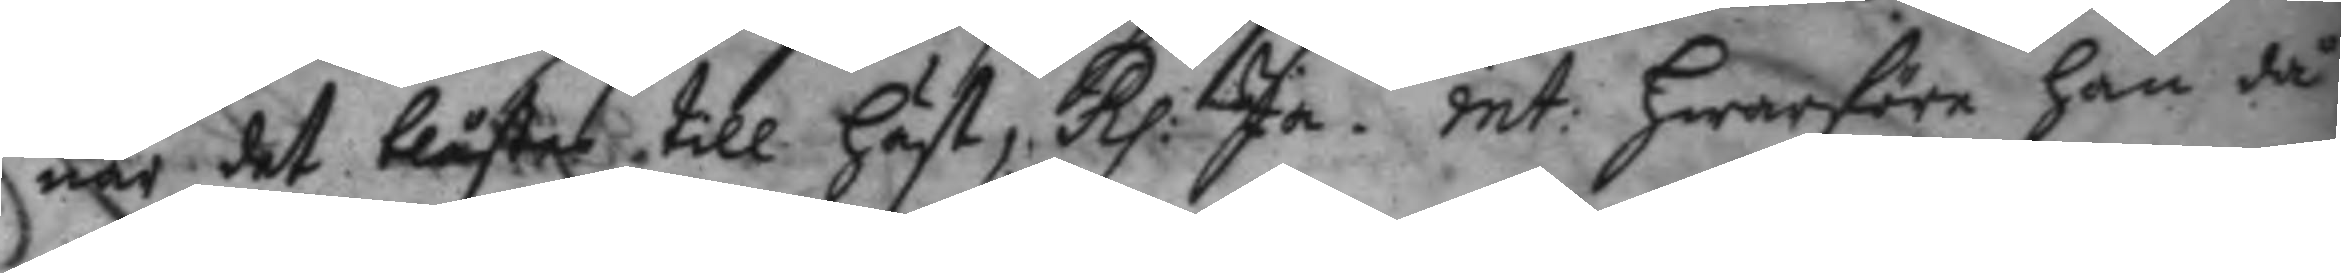när det blåstes till häst, Rp: Ja. int: hwarföre han då
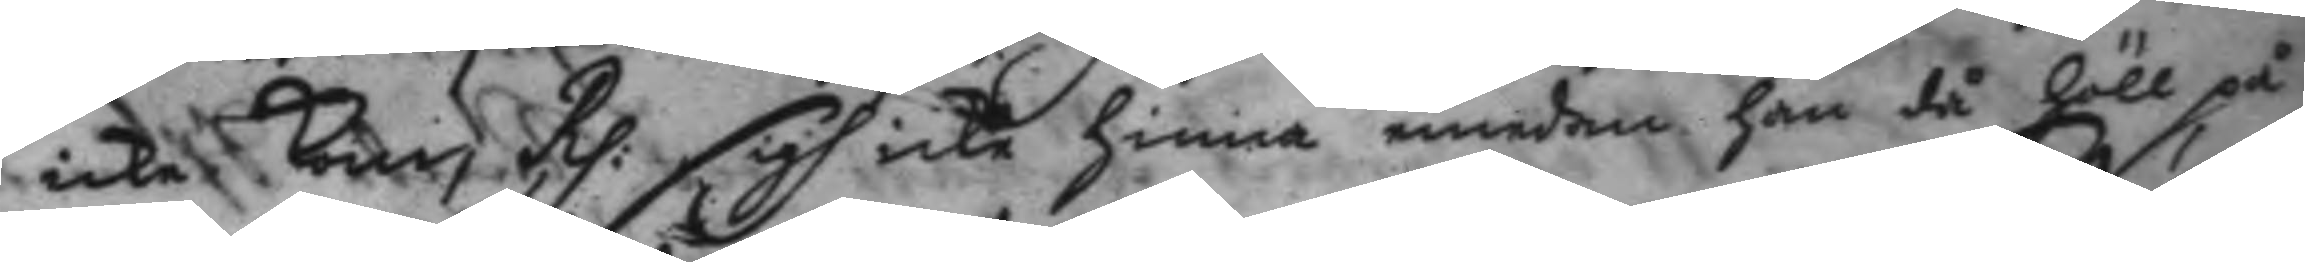icke kom, Rp: sigh icke hinna emedan han då höll på
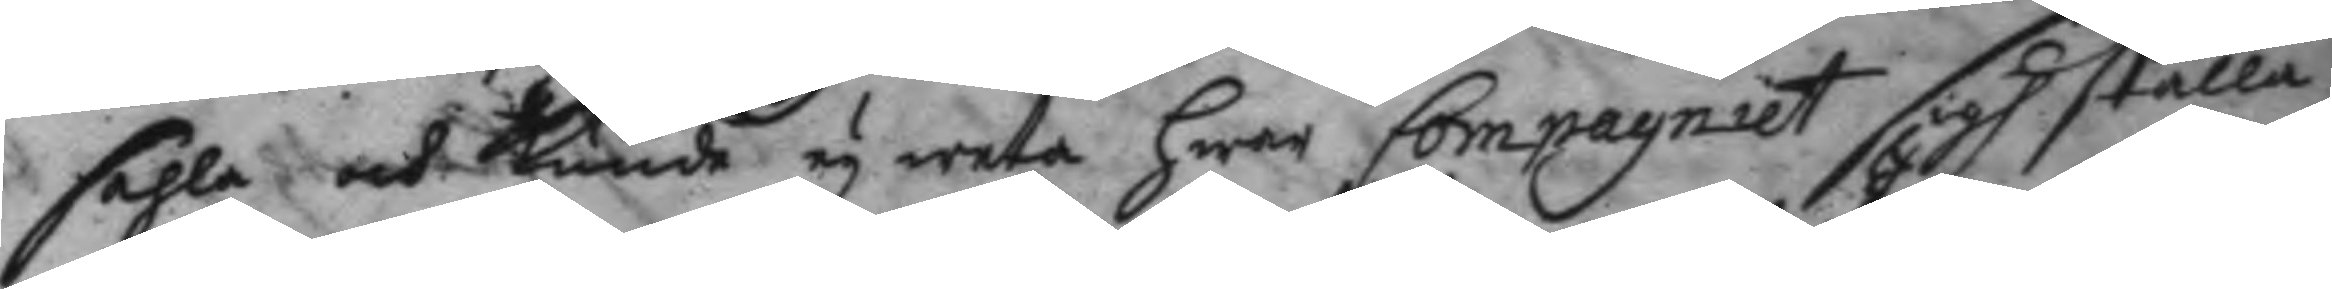sehla och kunde ey weta hwar Compagniet sigh ställa
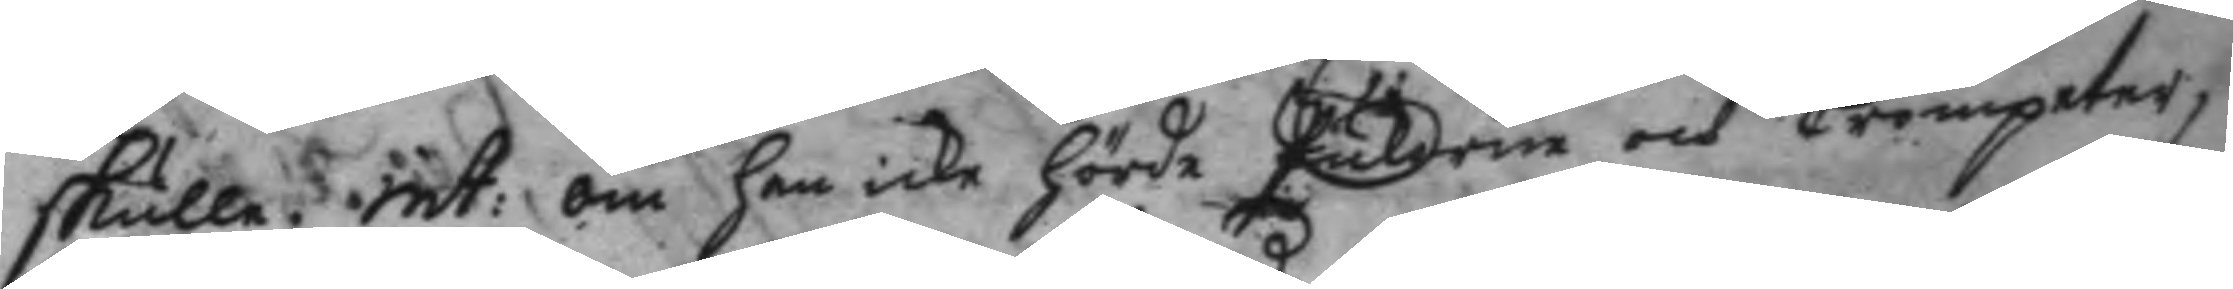skulle. int: om han icke hörde Pukorna och Trumpeter,
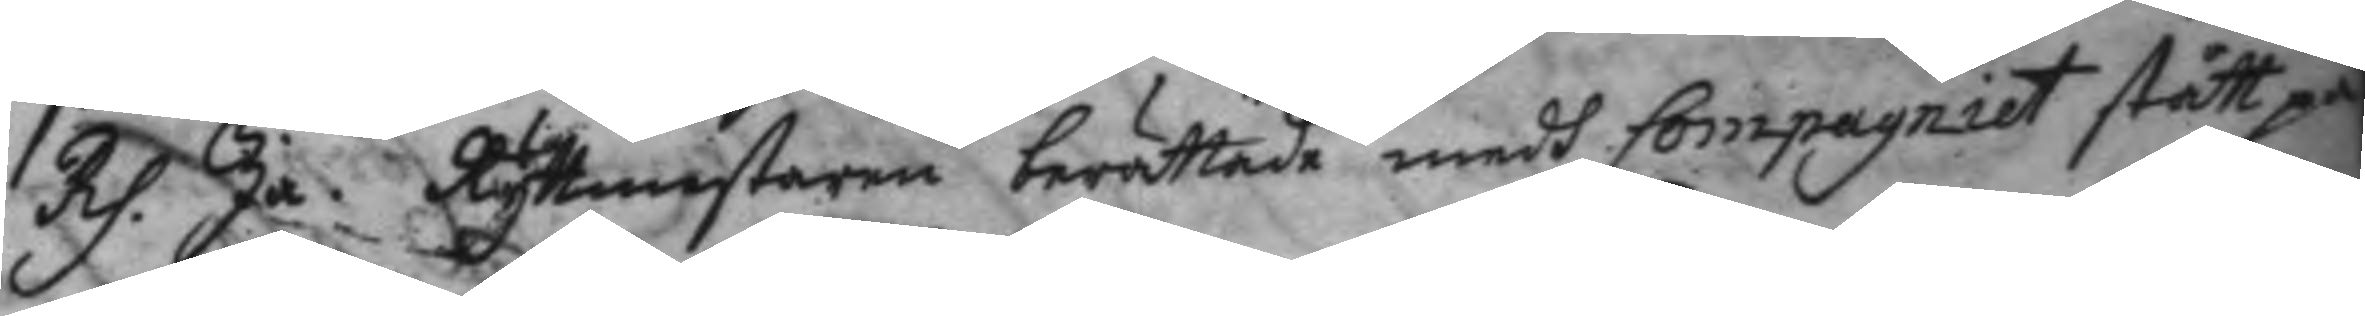Rp. Ja. Ryttmestaren berättade medh Compagniet stått på
